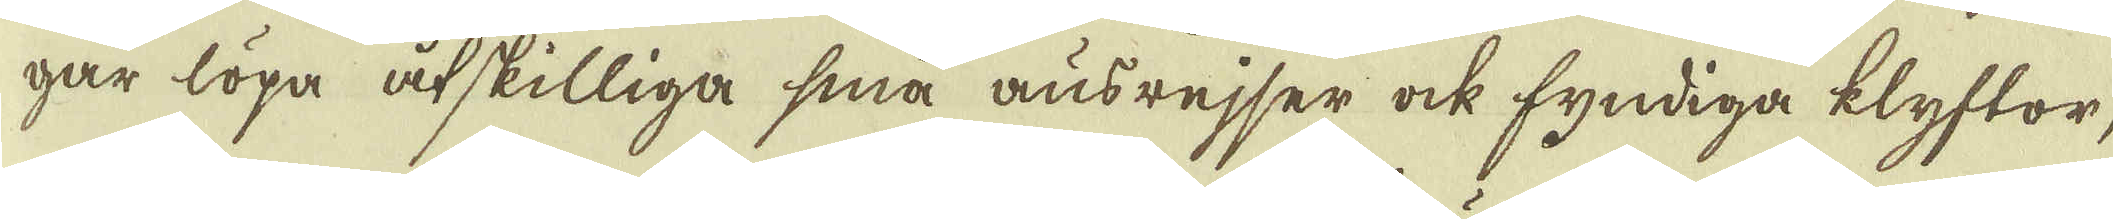gar löpa åtskilliga små ausrejser ock fyndiga klyftor,
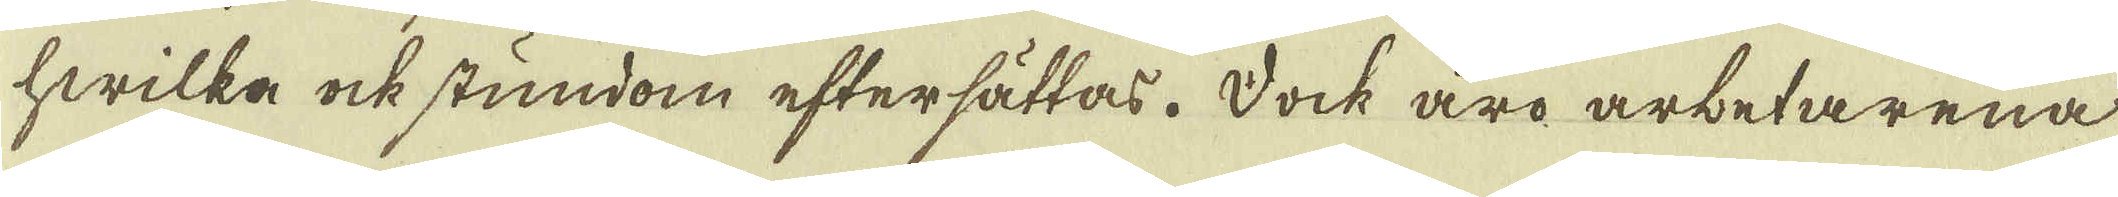hwilka ock stundom eftersättas. Dock äro arbetarena
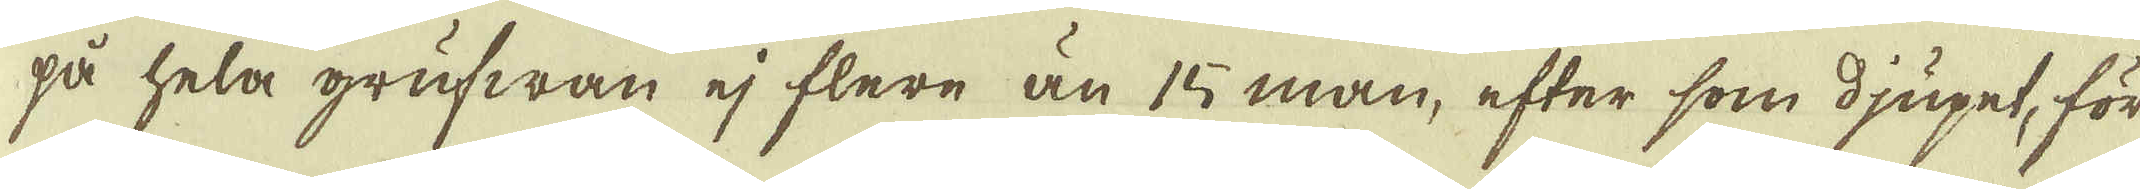på hela grufwan ej flere än 15 man, efter som djupet, för
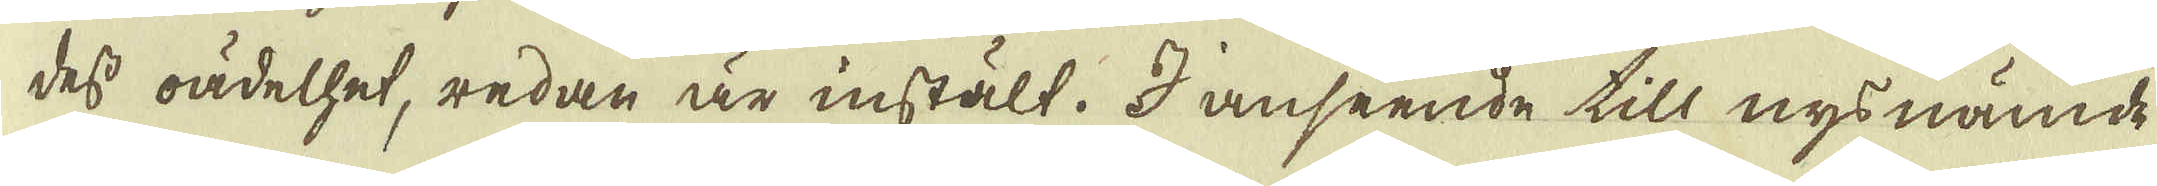dess oädelhet, redan är instält. I anseende till nys nämde
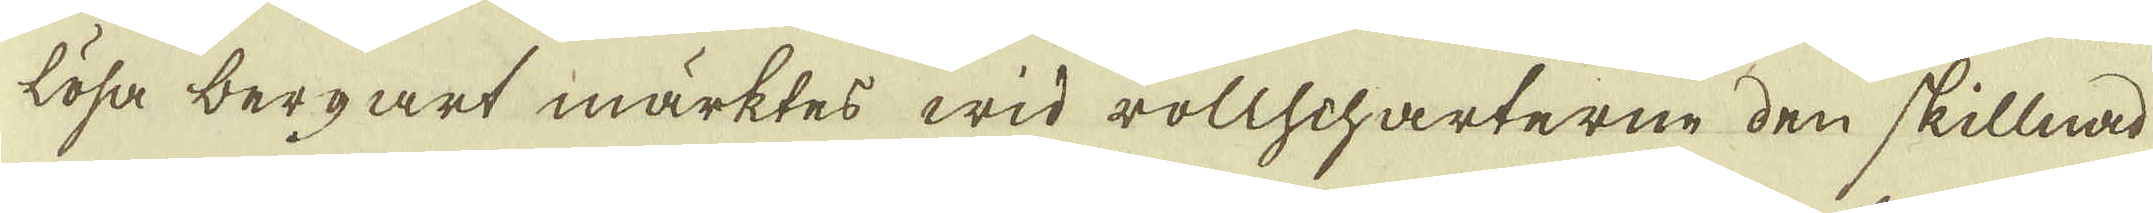lösa bergart märktes wid rollscharterne den skillnad
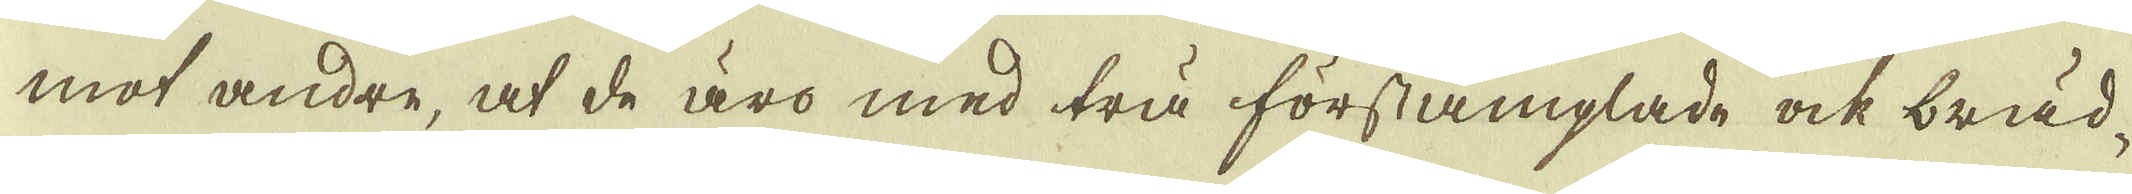mot andre, at de äro med trä förstämplade ock bräd-
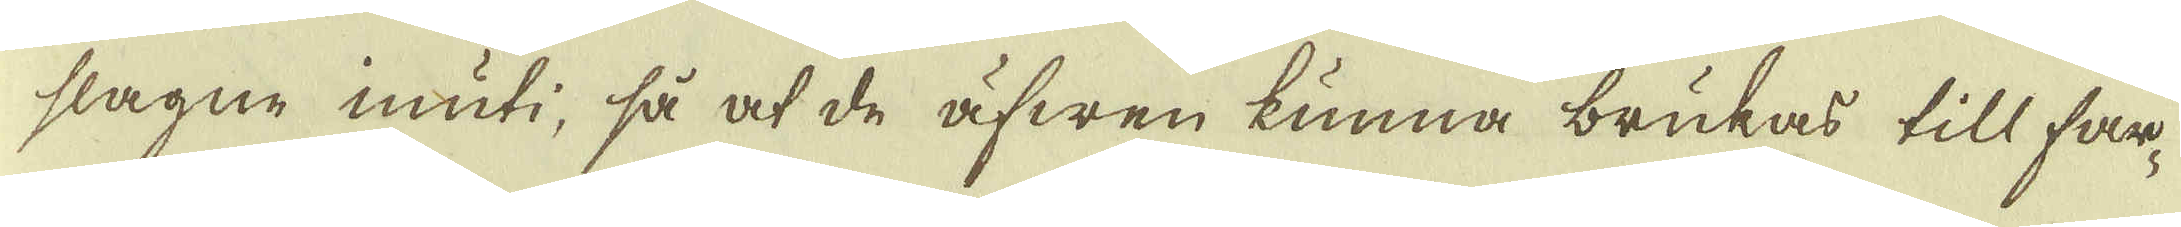slagne inuti, så at de äfwen kunna brukas till far-
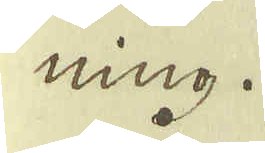ning.
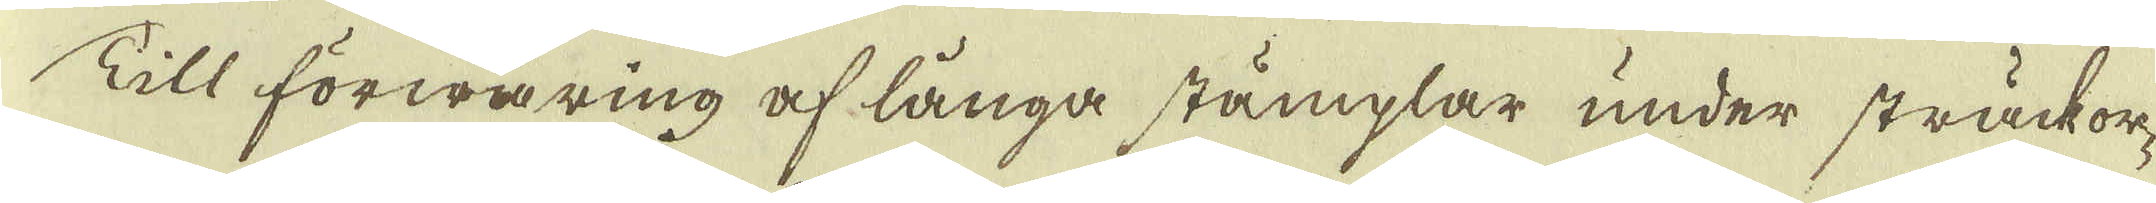Till förwaring af långa stämplar under sträckor-
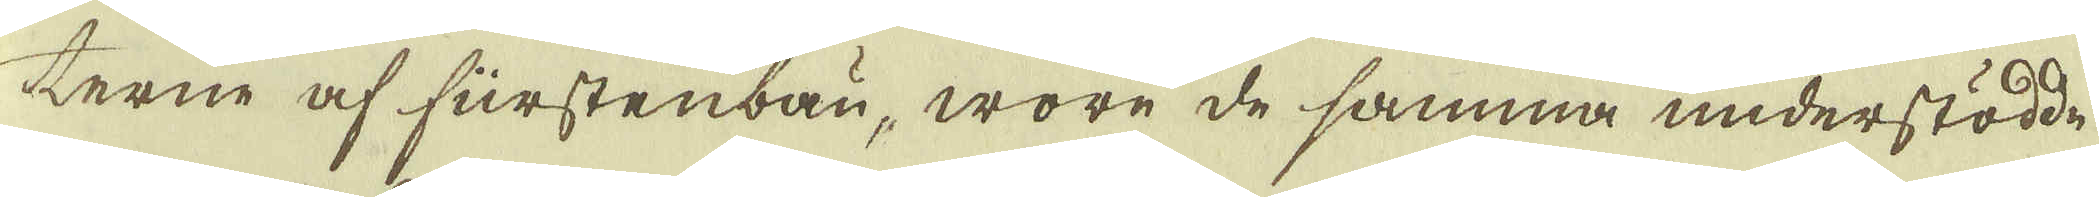terne af furstenbau, wore de samma understödde
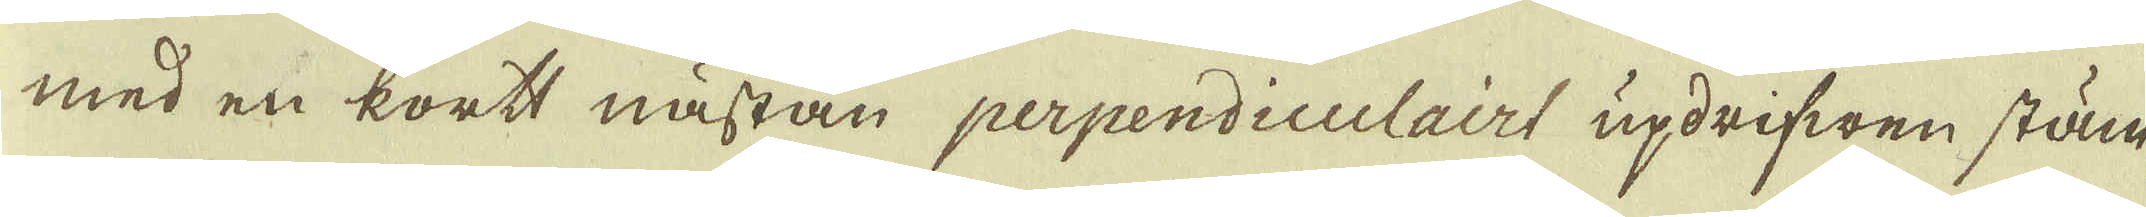med en kortt nästan perpendiculairt updrifwen stäm-
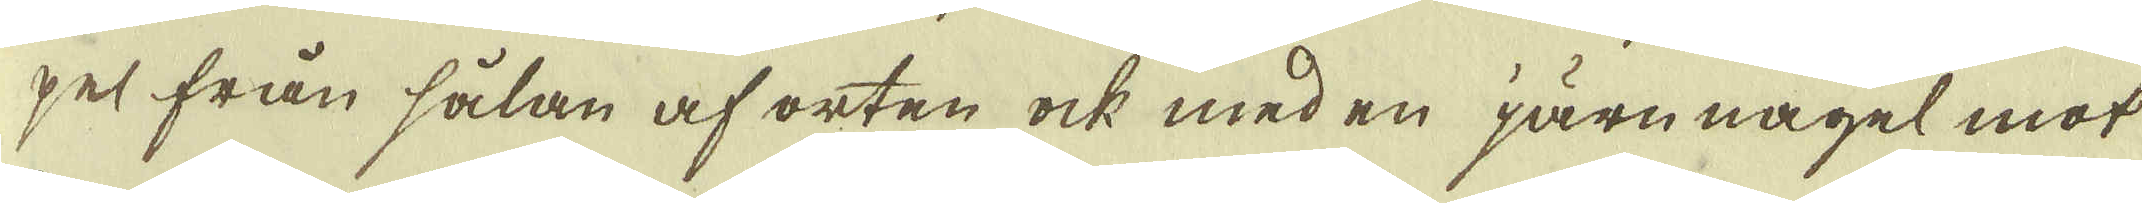pel från sålan af orten ock med en järnnagel mot
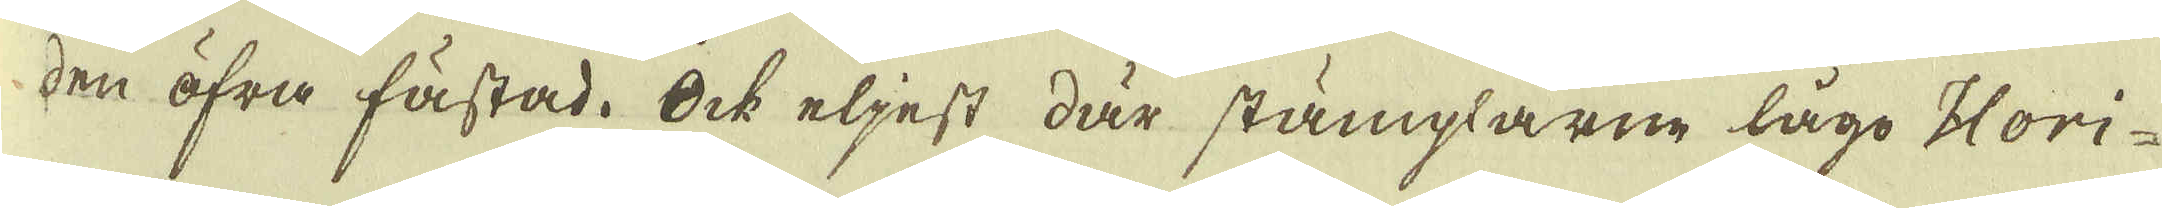den öfra fästad. Ock eljest där stämplarne lågo Hori-
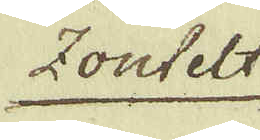zontelt
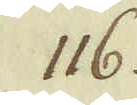116.
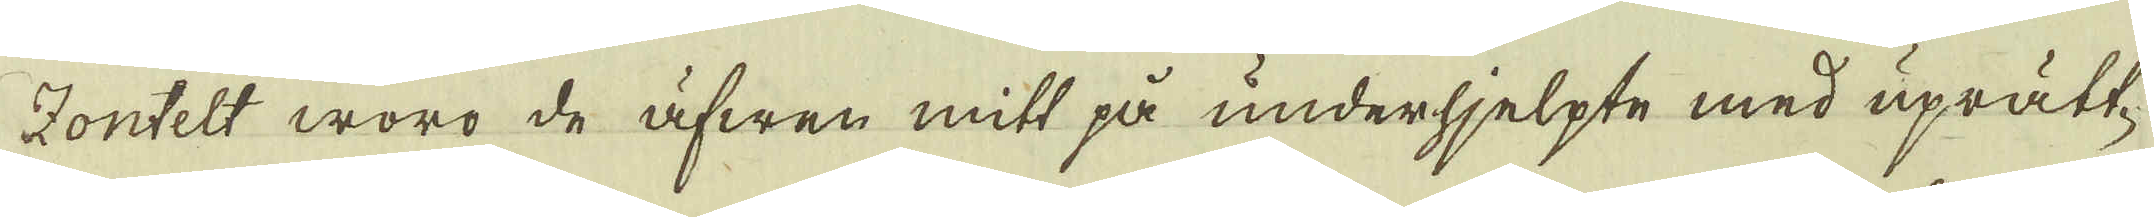Zonfelt woro de äfwen mitt på underhjelpte med uprätt-
